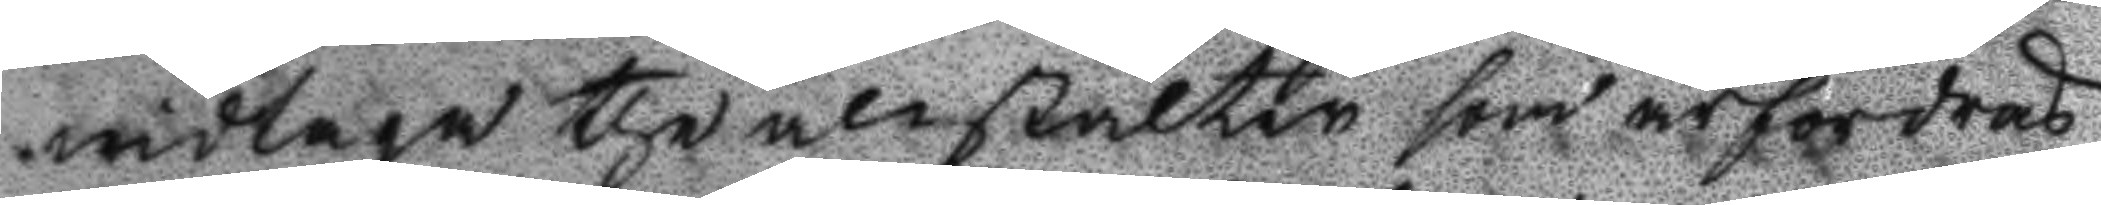widtaga the anstalter som ärfordras
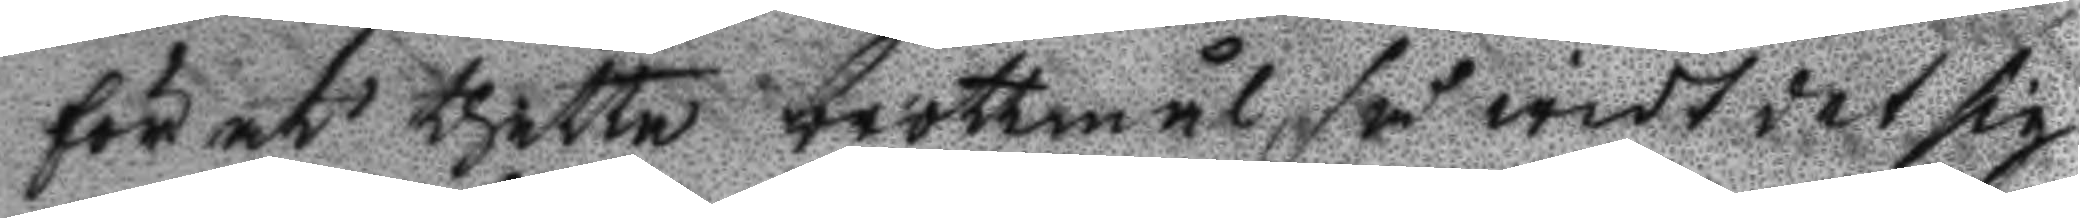förän thetta brottmål, så widt det sig 
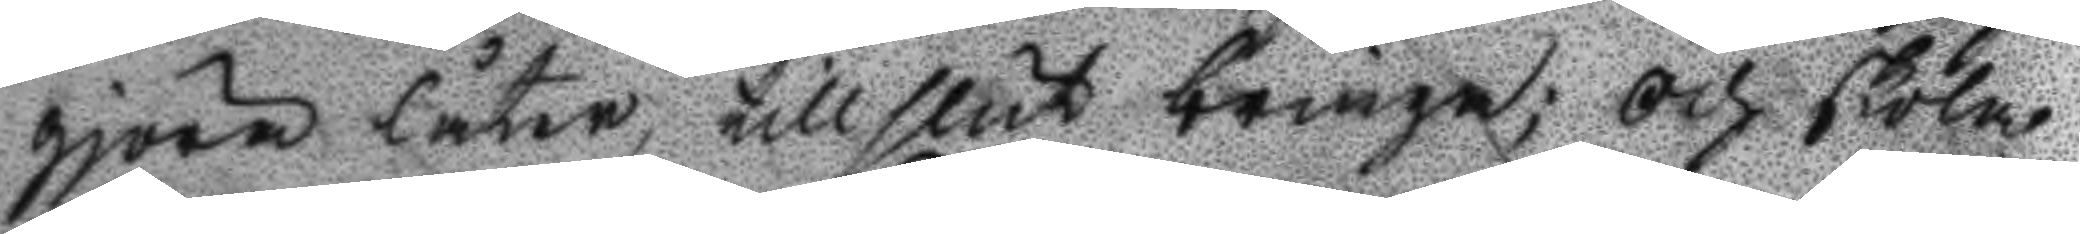gjöra låter, till slut bringa; Och skola
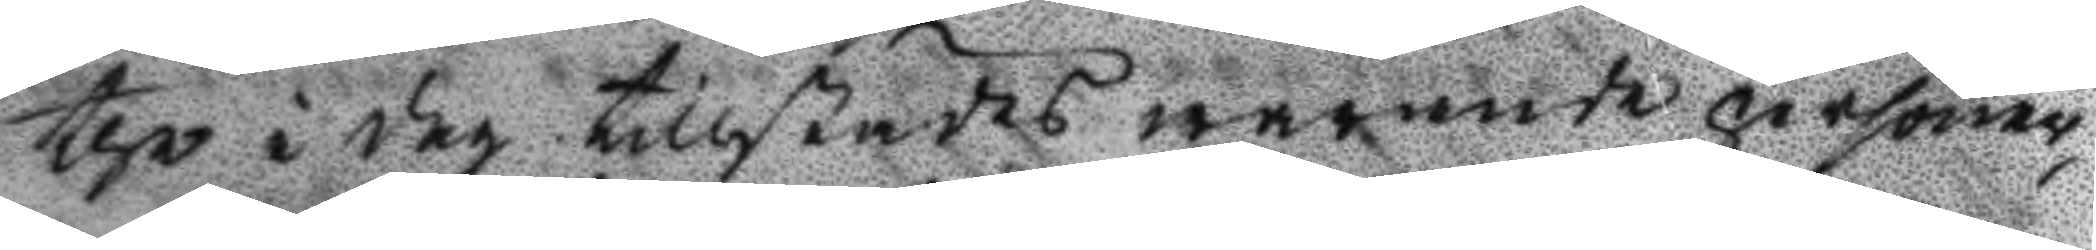the i dag tillstädes warande personer,,
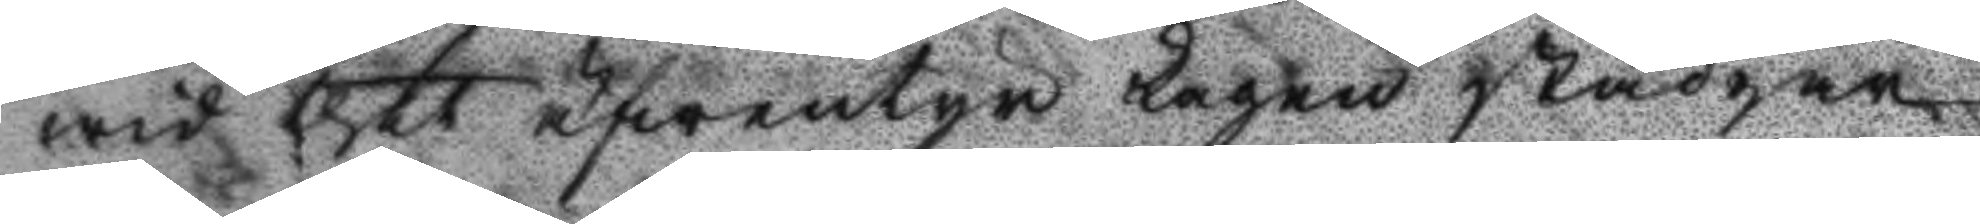wid thet äfwentyr Lagen stadgar,
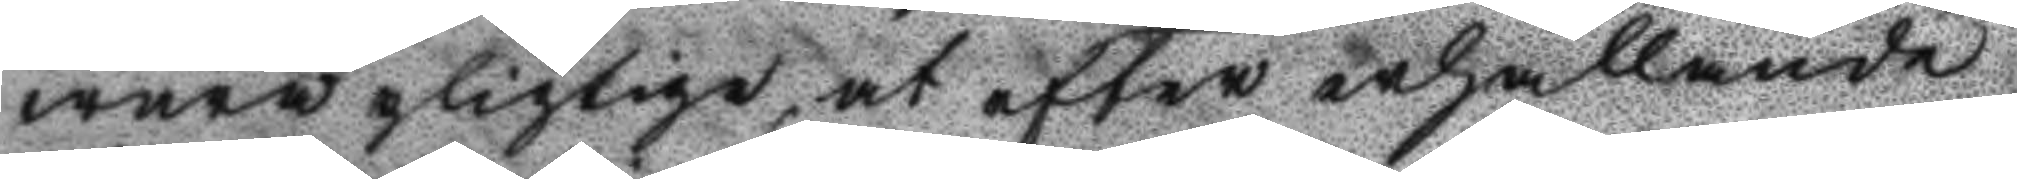wara pligtiga, at efter erhållande
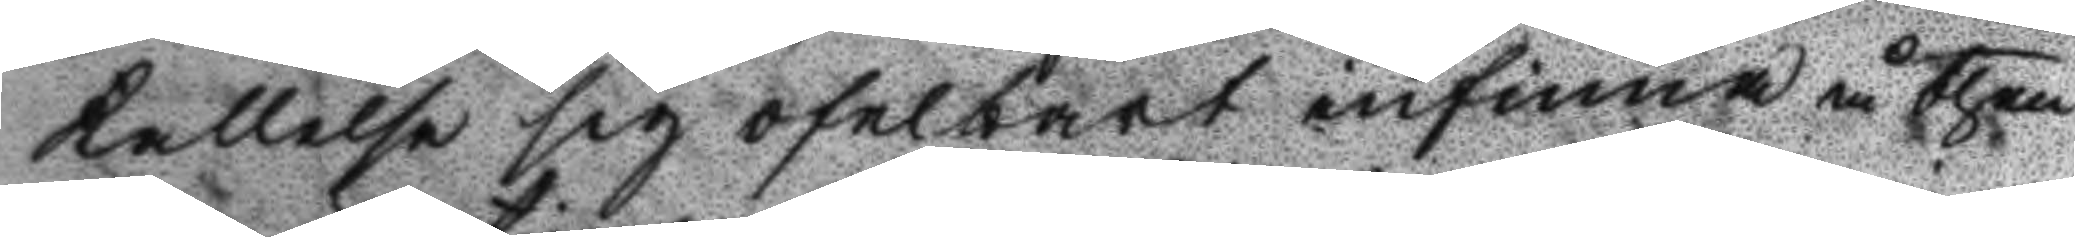kallelse sig ofelbart infinna å then
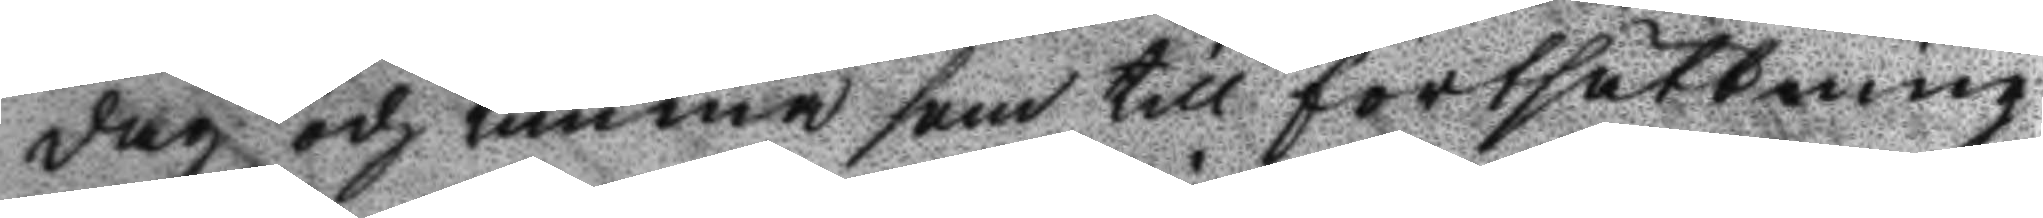dag och timma som till fortsättning
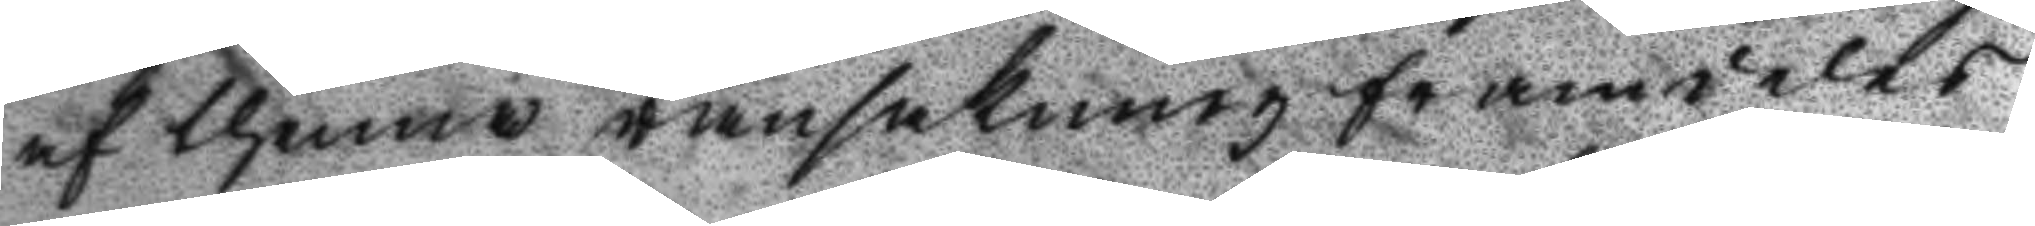af thenna ransakning framdeles
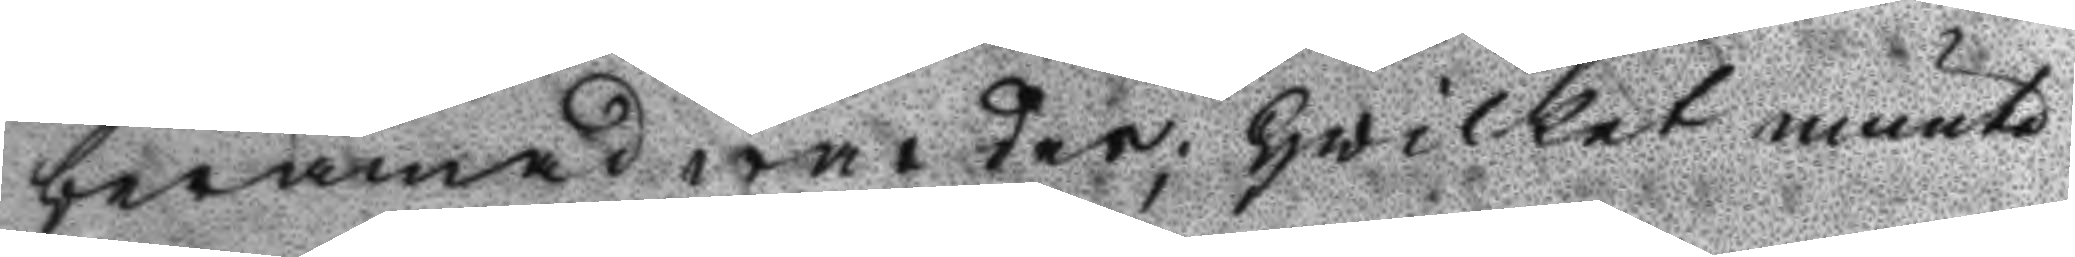beramad warder; Hwilket munte¬
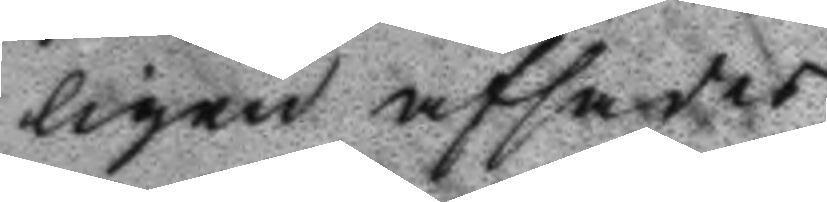ligen affsades.
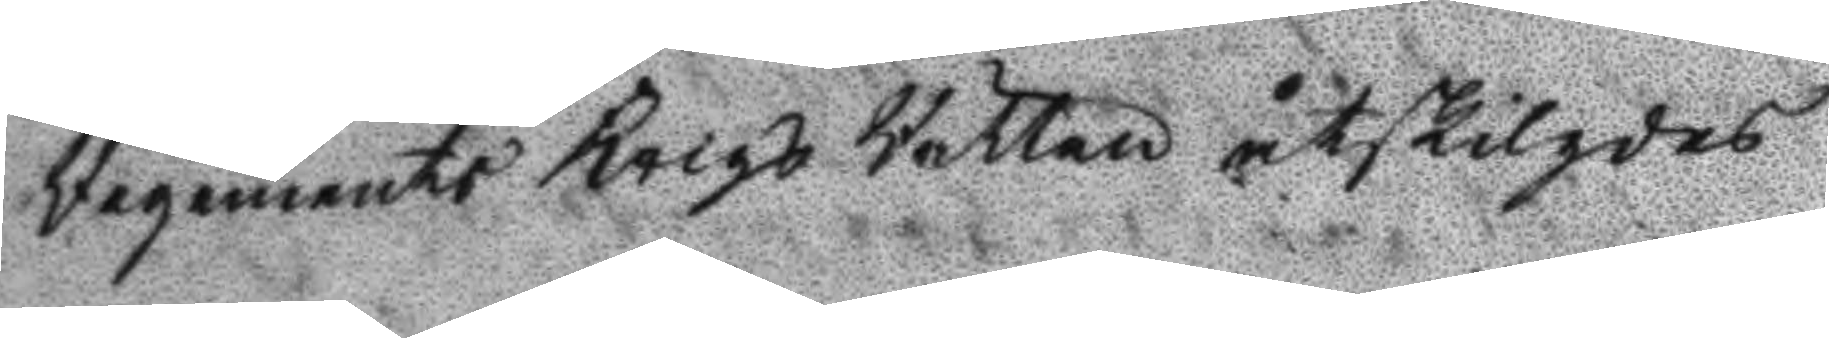Regemnets Krigs Rätten åtskiljdes
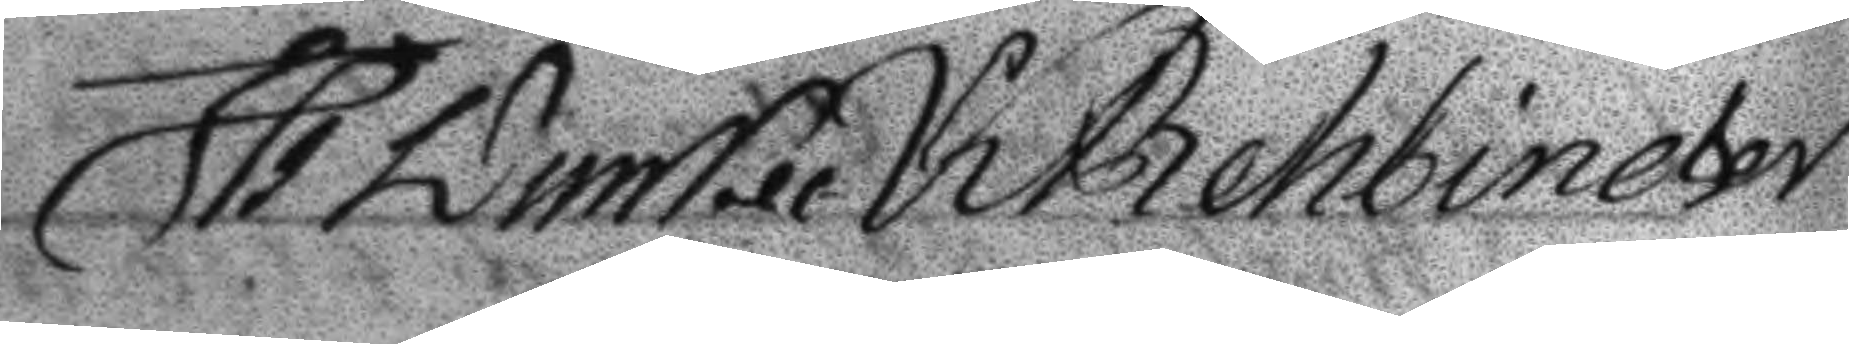H: Lums K Behbineter
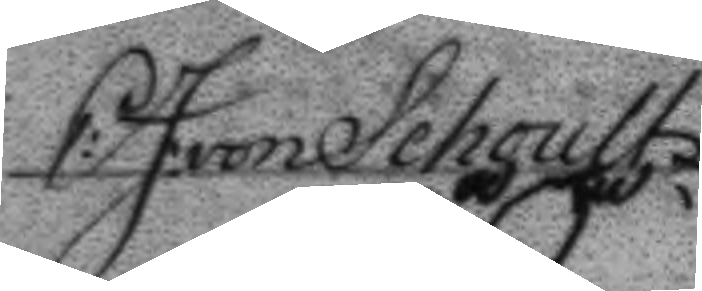E: J. von Schoultz
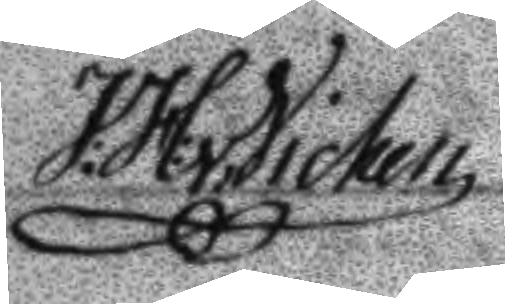J:H: v. Vicken
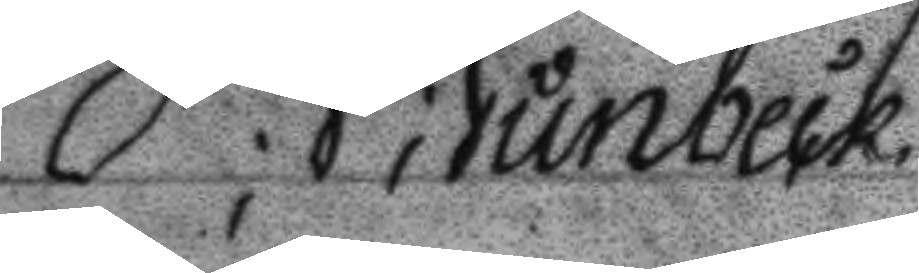P; R; Runbeck
